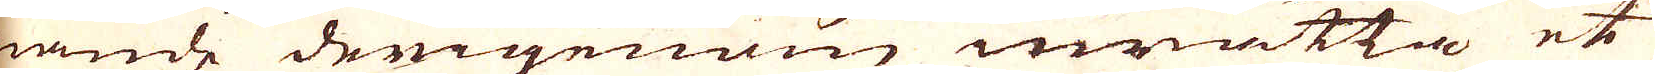nande derigenom inrätta et
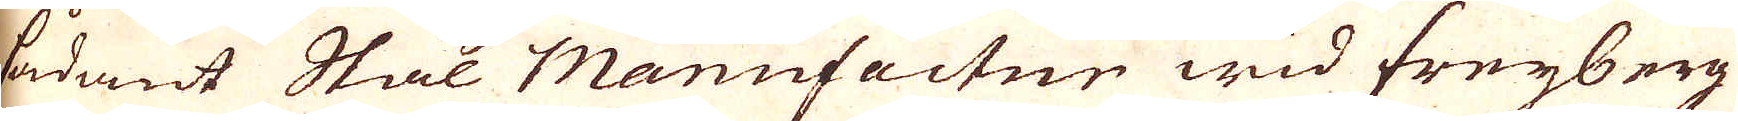sådant Stål Manufactur wid freyberg
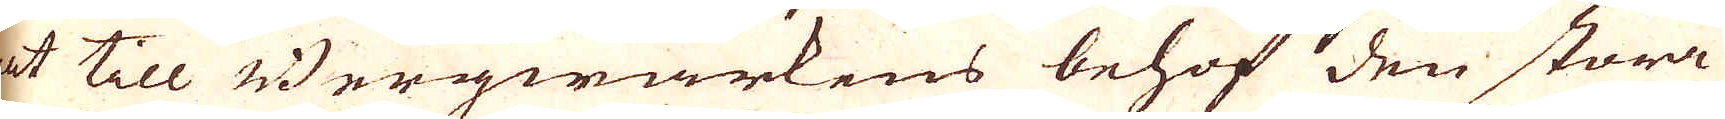et till Bergwärkens behof den stora
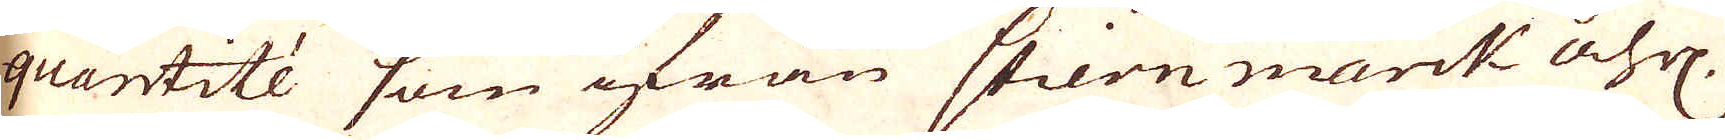quantité som ifrån stiermarckt åhrl.
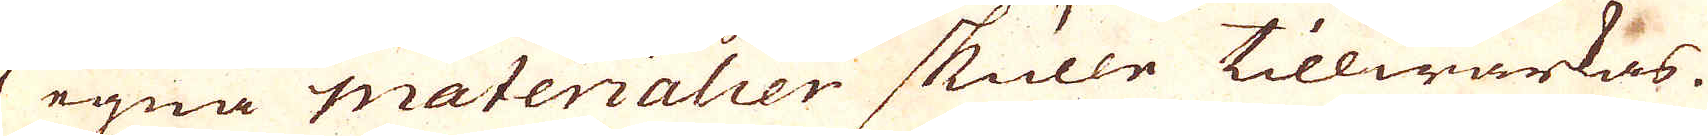af egna Materialier skulle tillwärkas.
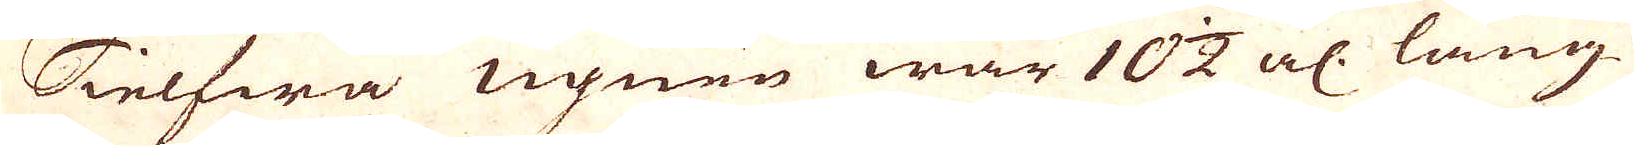Sielfwa ugnen war 10 1/2 al: lång.
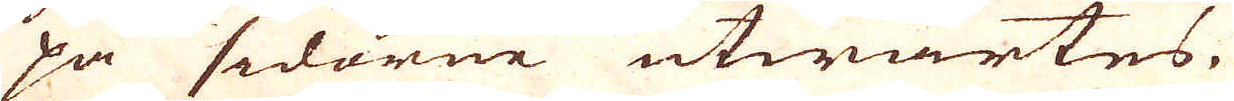på sidorne utwärtes.
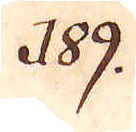189.
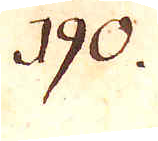190.
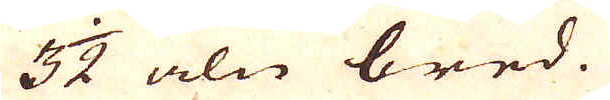3 1/2 aln bred.
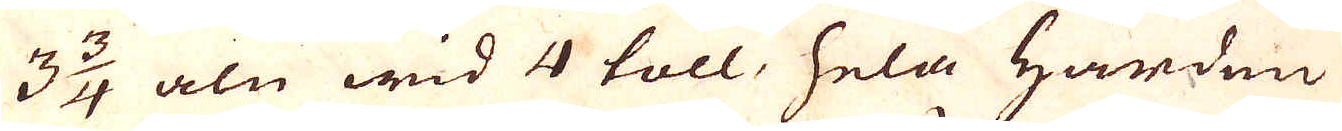3 3/4 aln wid 4 toll, hela Härden
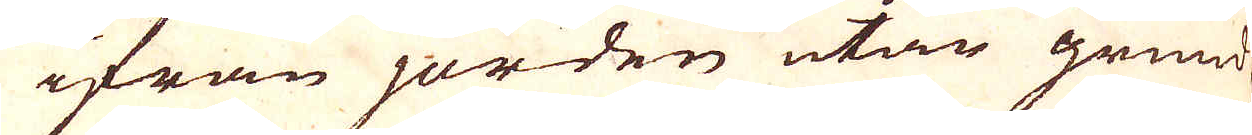ifrån jorden utan grund
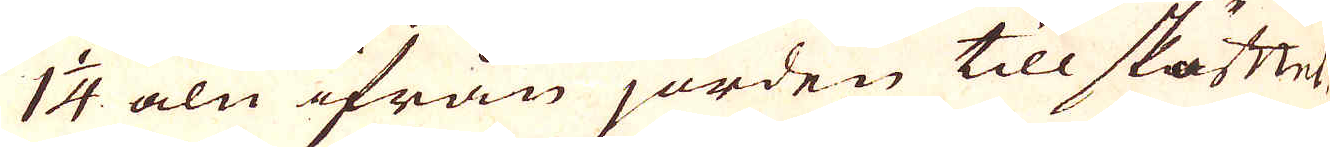1 1/4 aln ifrån jorden till sköfttet
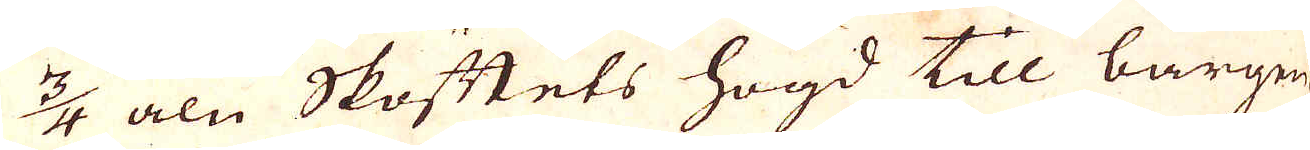3/4 aln Skåttets högd till bårgen
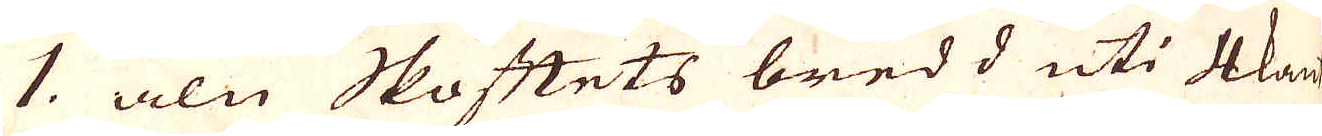1. aln Skåttets bredd uti 4kant
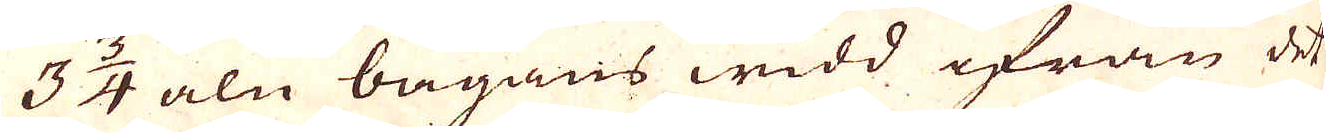3 3/4 aln bågans widd ifrån det
